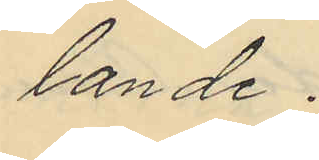lande.
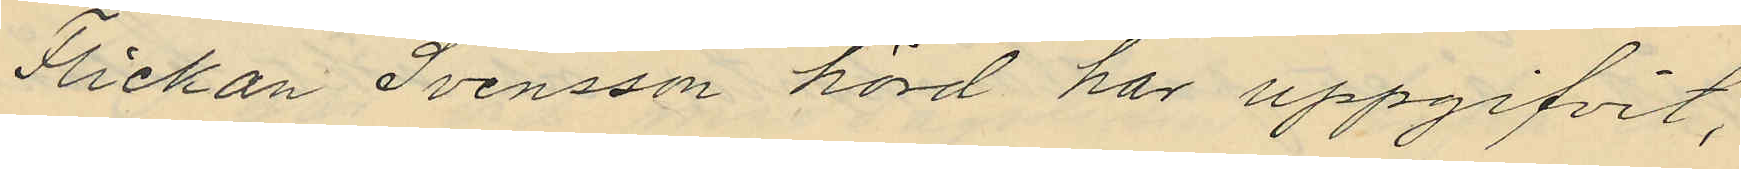Flickan Svensson hörd har uppgifvit,
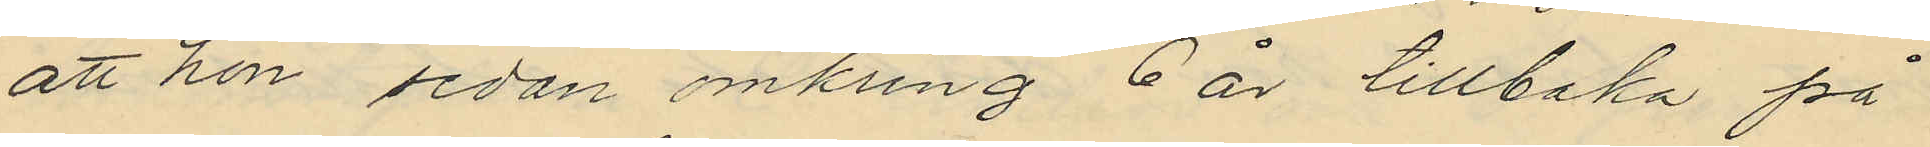att hon sedan omkring 6 år tillbaka på
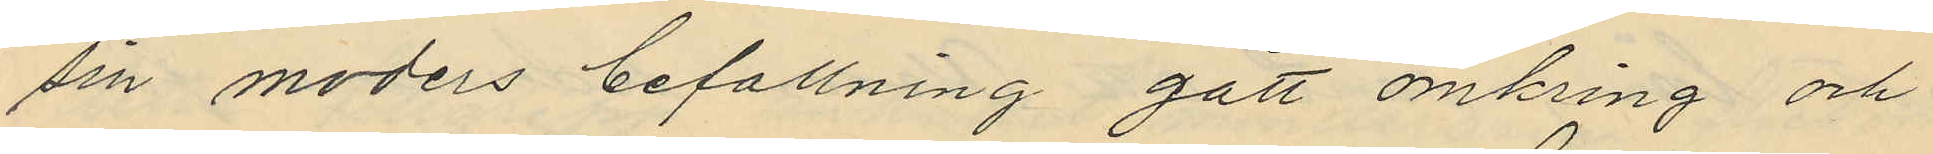sin moders befallning gått omkring och
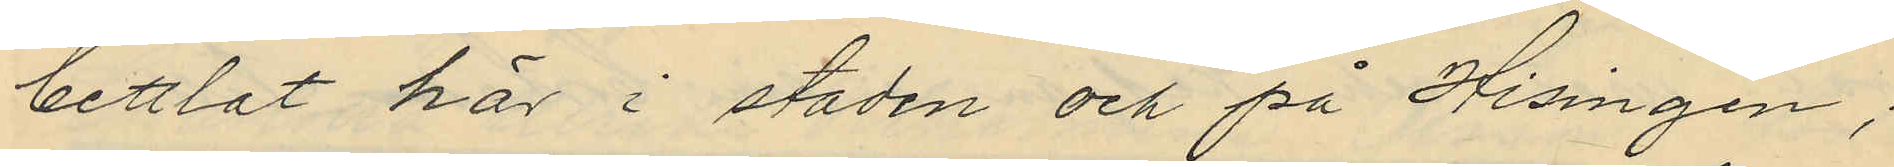bettlat här i staden och på Hisingen;
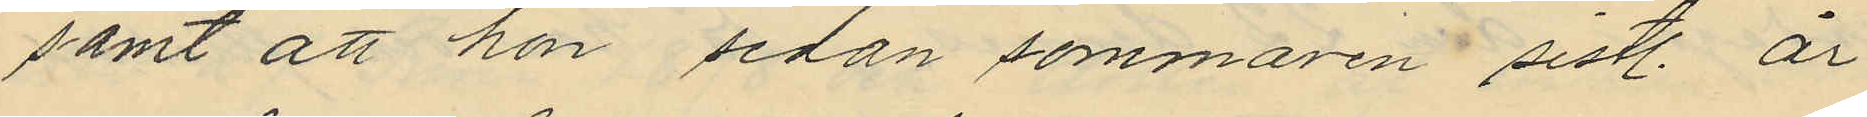samt att hon sedan sommaren sistl. år
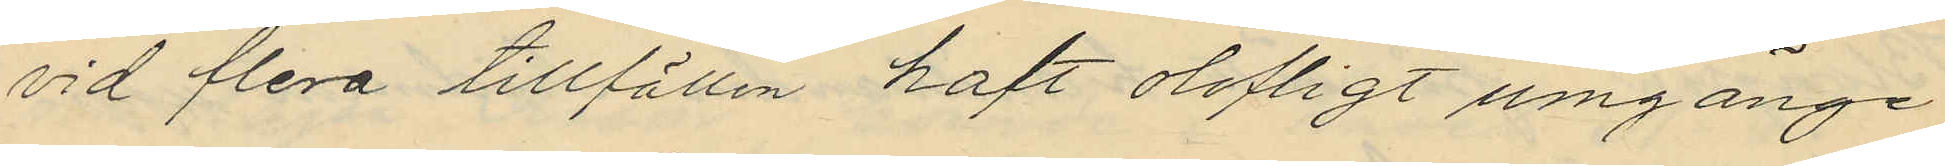vid flera tillfällen haft olofligt umgänge
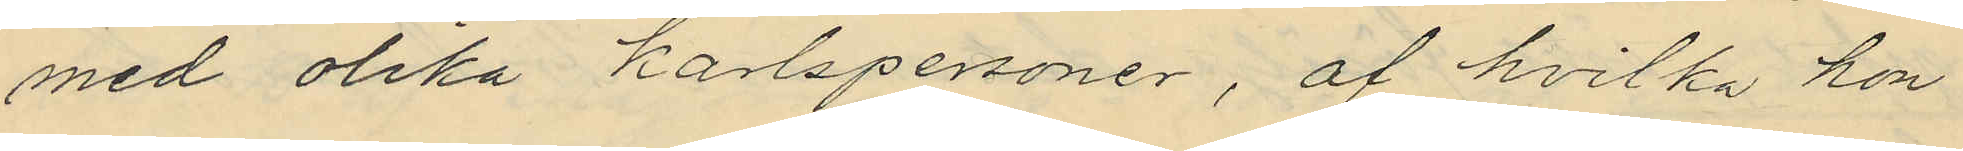med olika karlspersoner, af hvilka hon
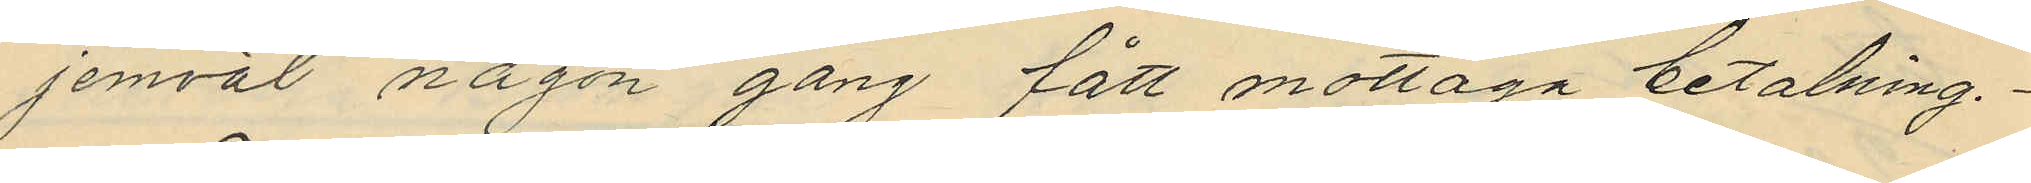jemväl någon gång fått mottaga betalning.
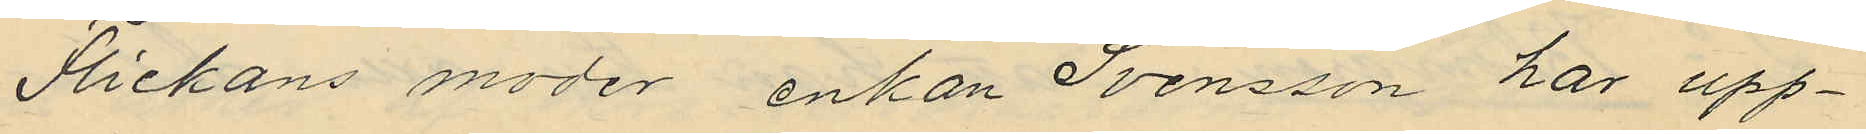Flickans moder enkan Svensson har upp¬
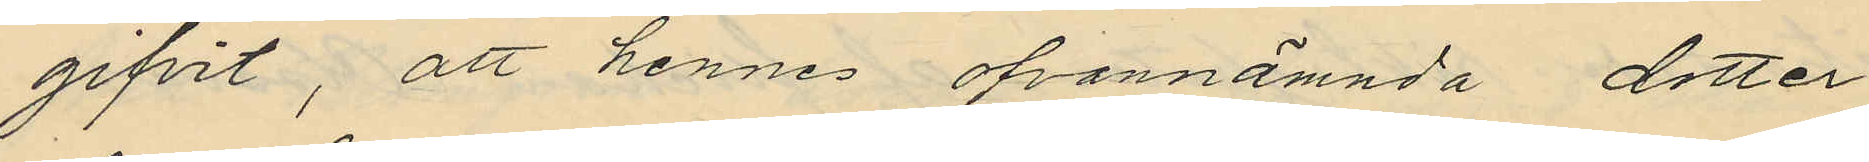gifvit; att hennes ofvannämnda dotter
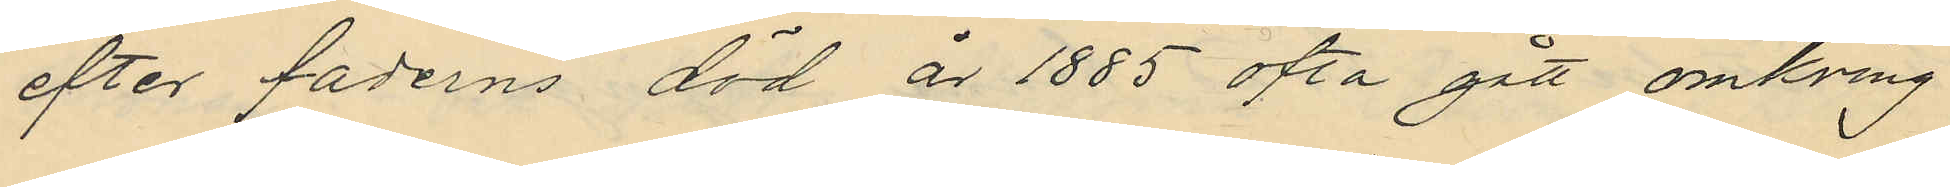efter faderns död år 1885 ofta gått omkring
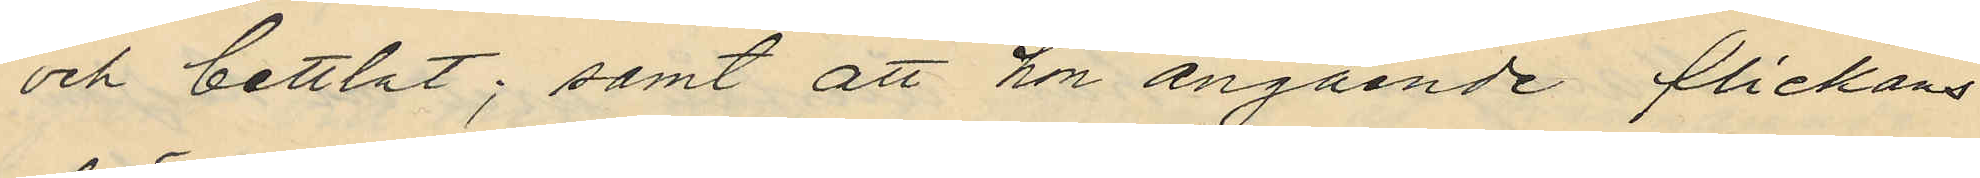och bettlat; samt att hon angående flickans
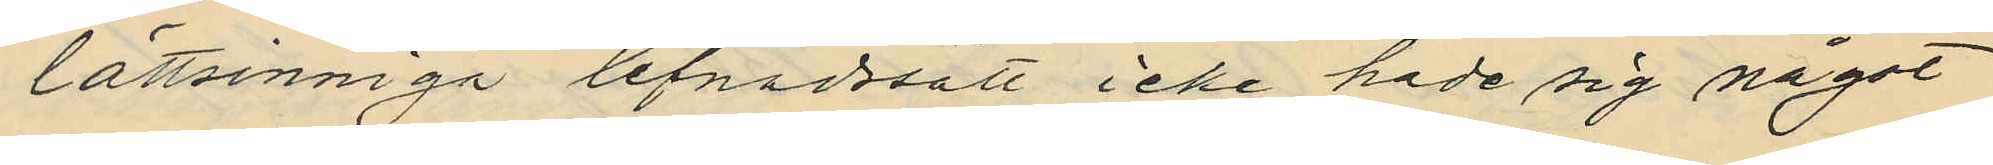lättsinniga lefnadssätt icke hade sig något
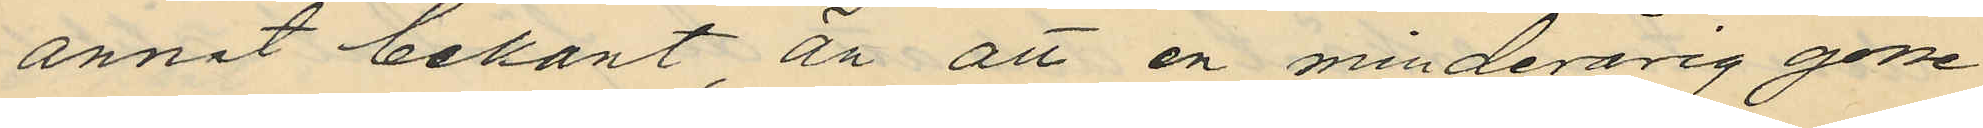annat bekant än att en minderårig gosse
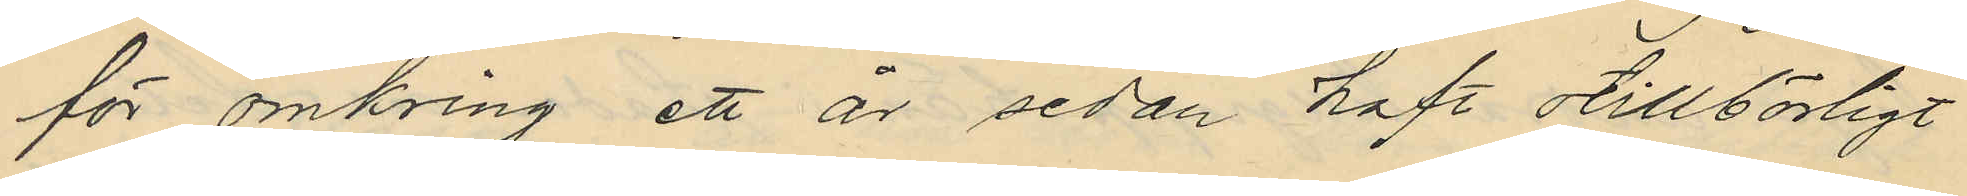för omkring ett är sedan haft otillbörligt
